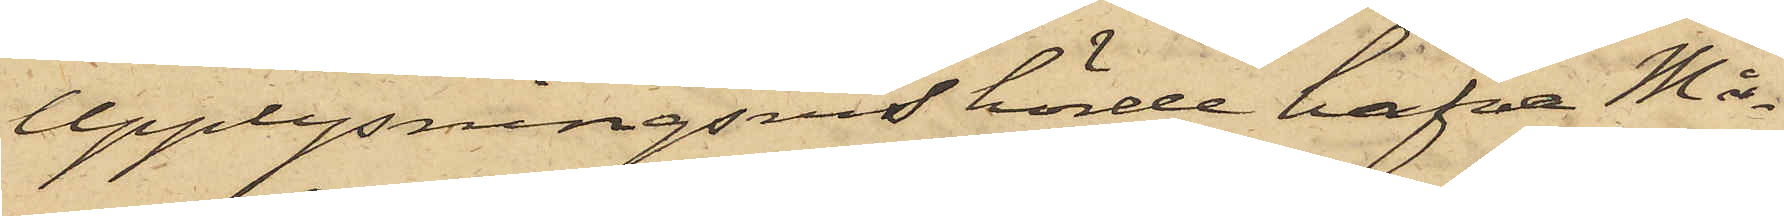Upplysningsvis hörde hafva Må¬
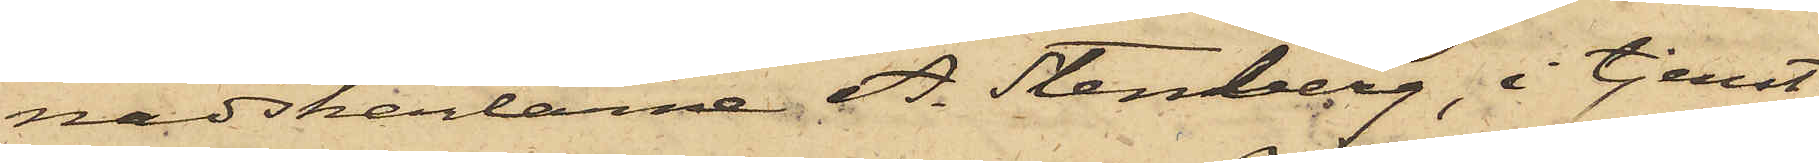nadskarlarne A. Stenberg, i tjenst
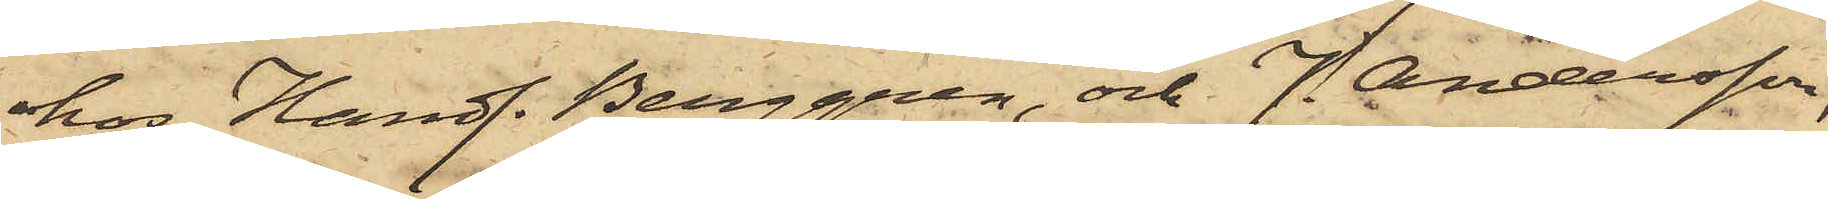hos Handl. Berggren, och J. Andersson,
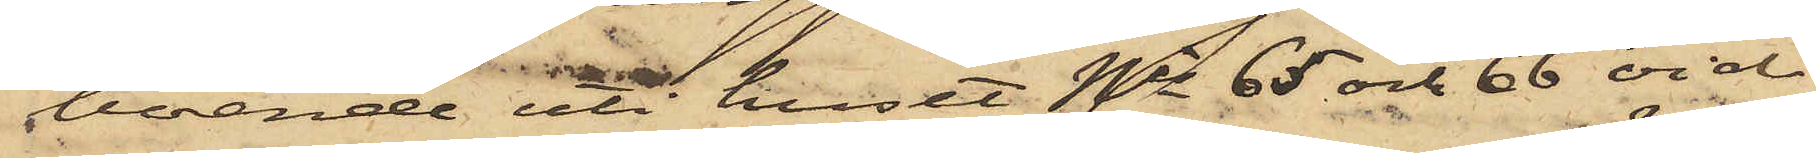boende uti huset Nis 65 och 66 vid
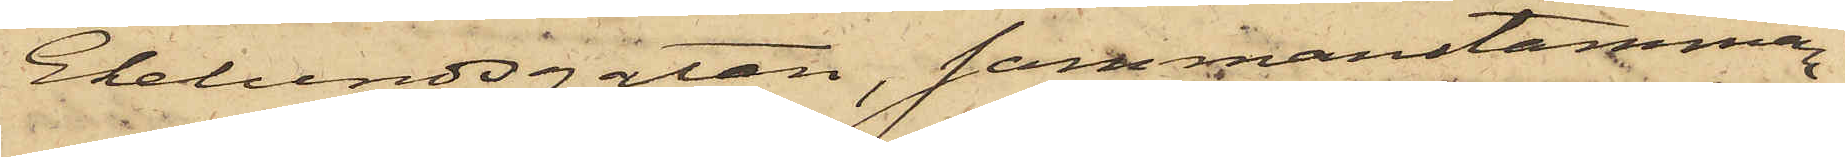Ekelundsgatan, sammanstämman¬
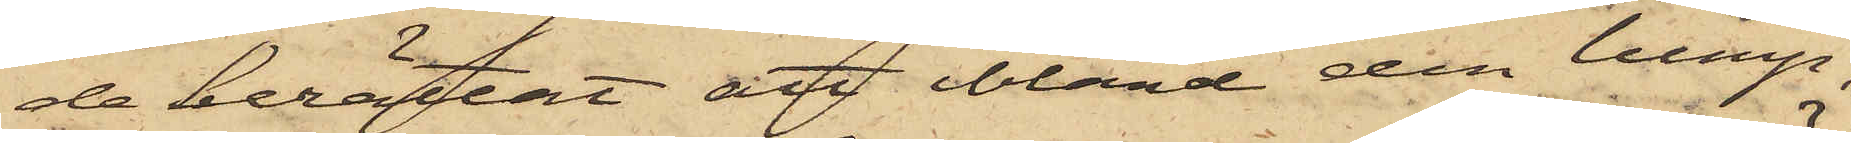de berättat, att bland den lump,
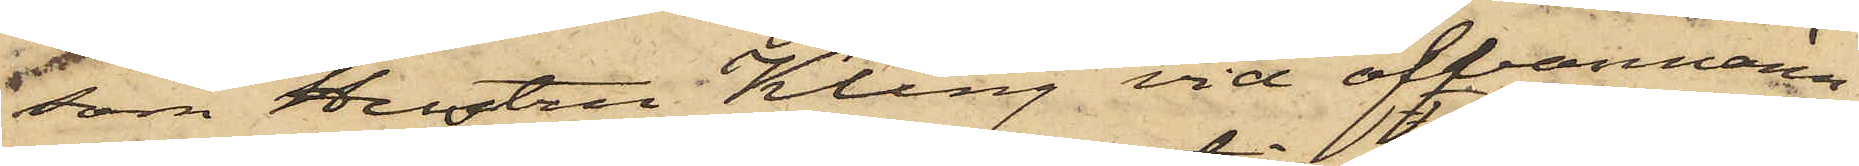som Hustru Kling vid ofvannämn¬
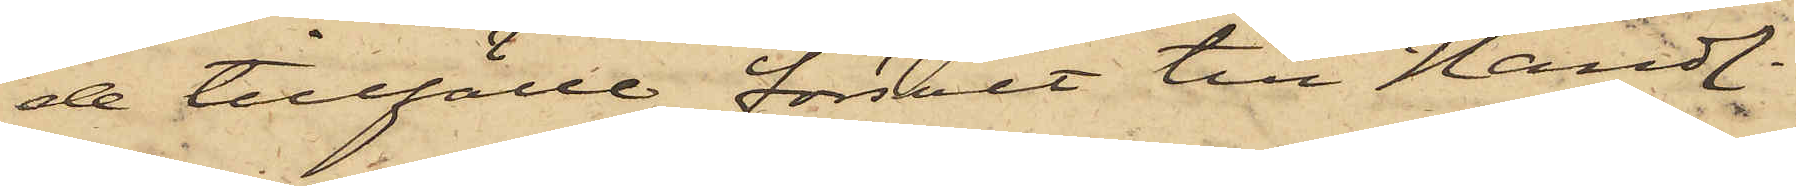de tillfälle försålt till Handl.
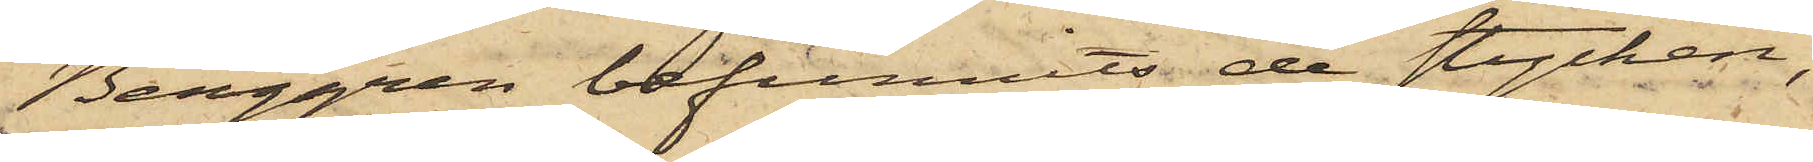Berggren befunnits de stycken,
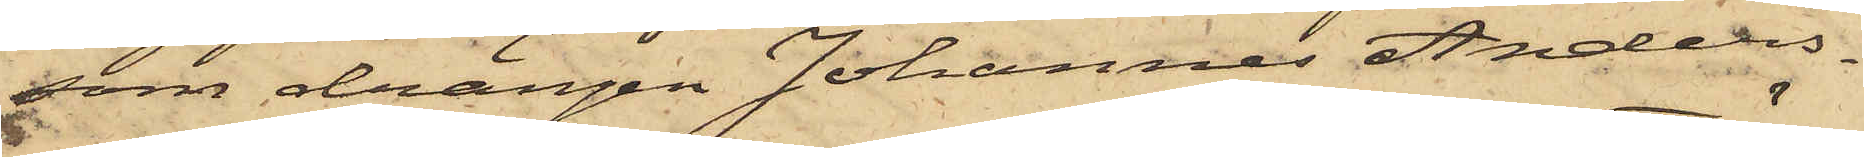som drängen Johannes Anders¬
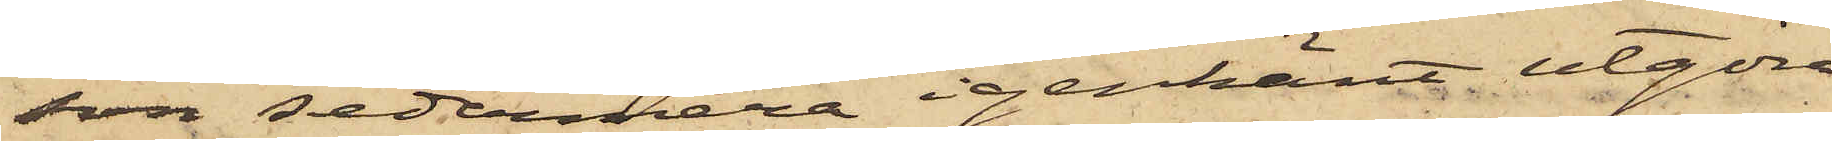son sedermera igenkänt utgöra
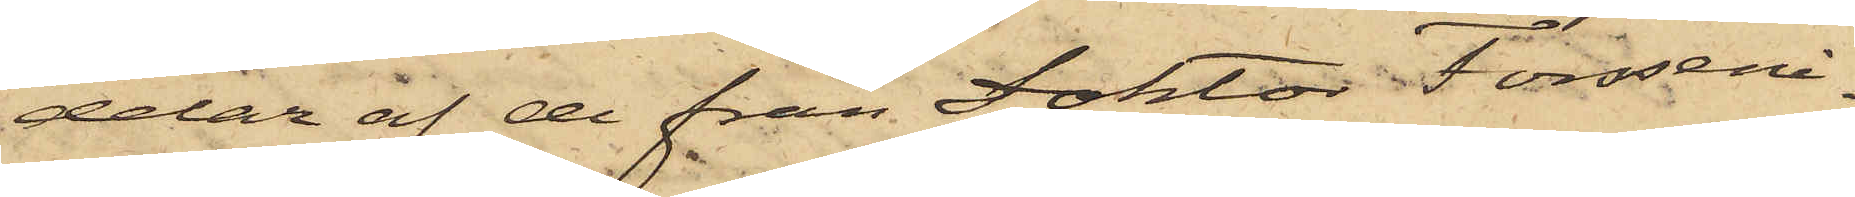delar af de från Doktor Forsseni¬
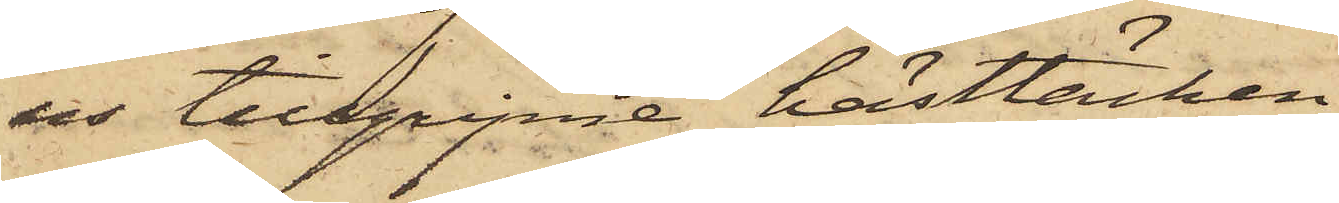us tillgripne hästtäcken.
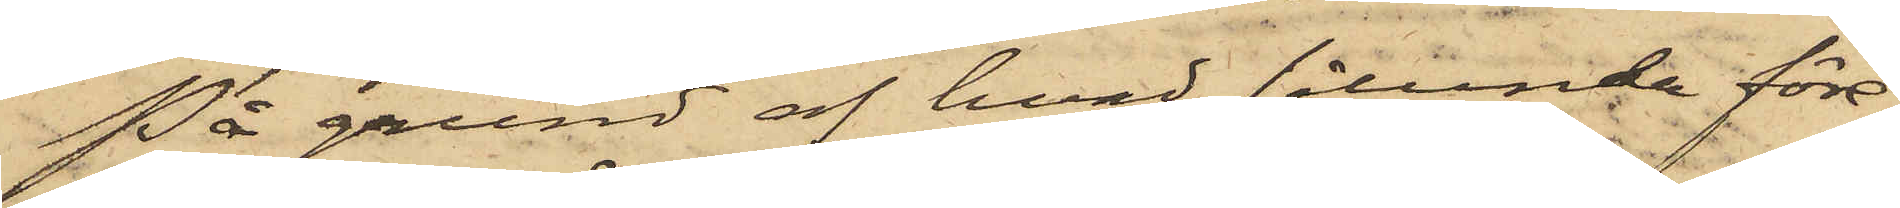På grund af hvad sålunda före¬
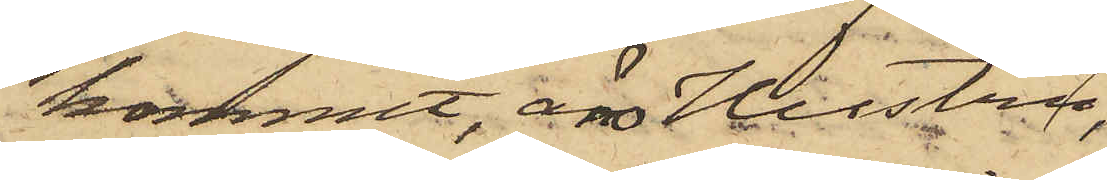kommit, äro hustru
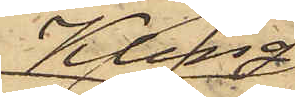Kling,
